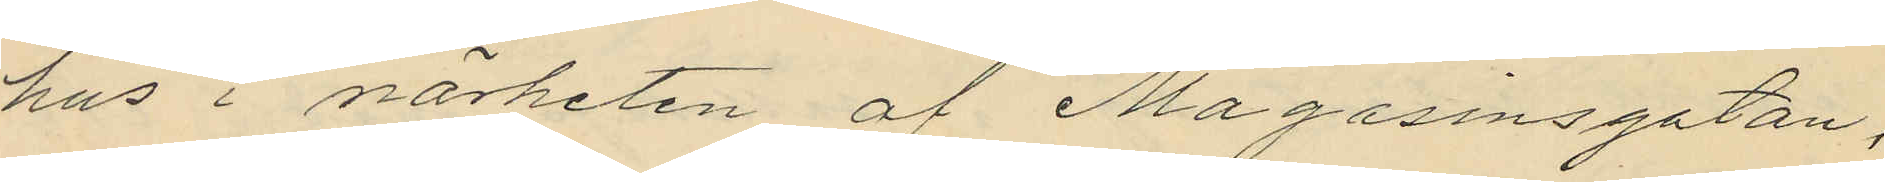hus i närheten af Magasinsgatan,
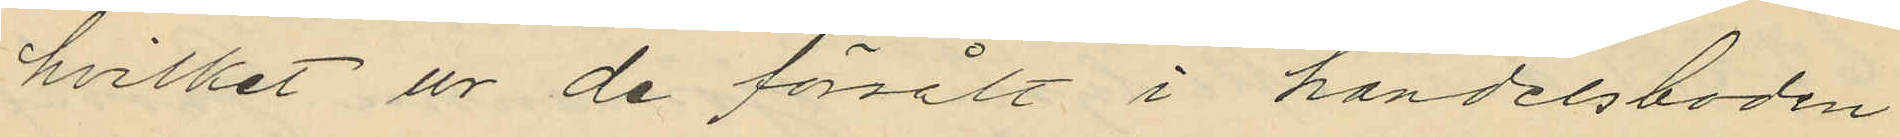hvilket ur de försålt i handelsboden
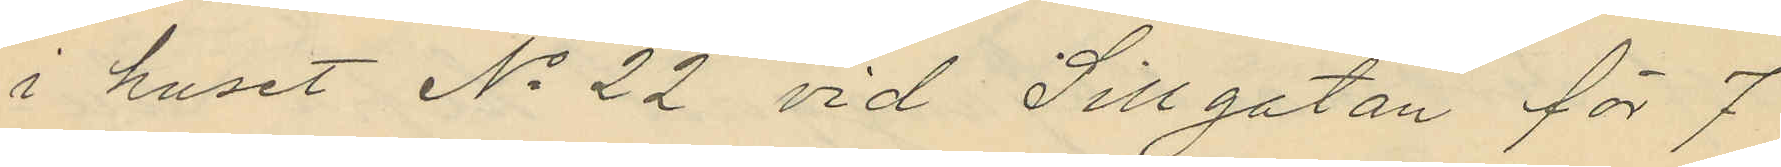i huset No 22 vid Sillgatan för 7
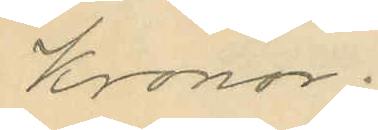Kronor.
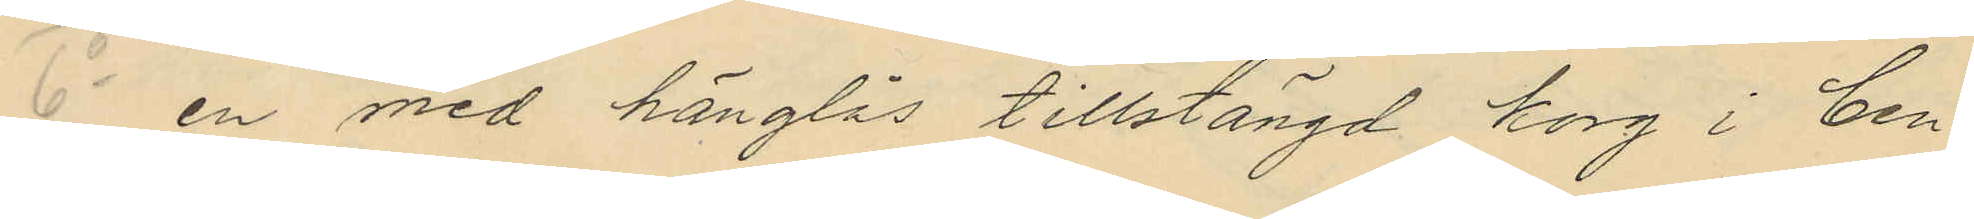6o en med hänglås tillstängd korg i Cen¬
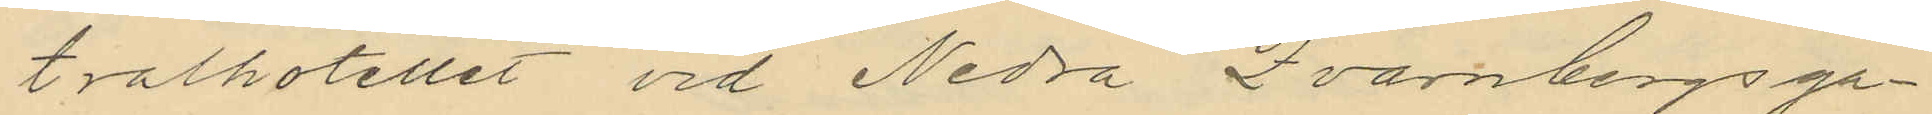tralhotellet vid Nedra Qvarnbergsga¬
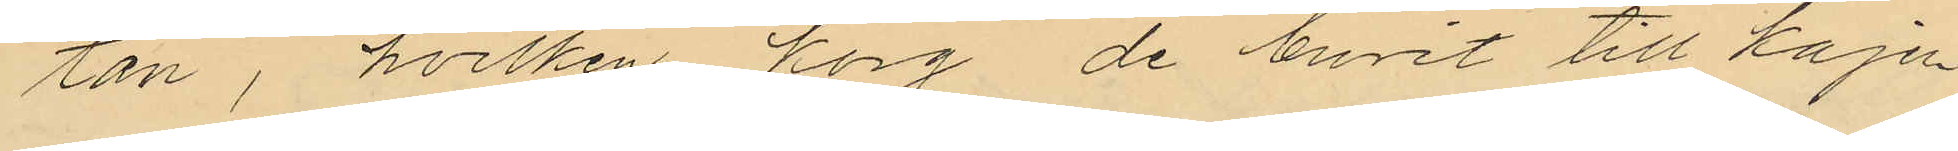tan, hvilken korg de burit till kajen
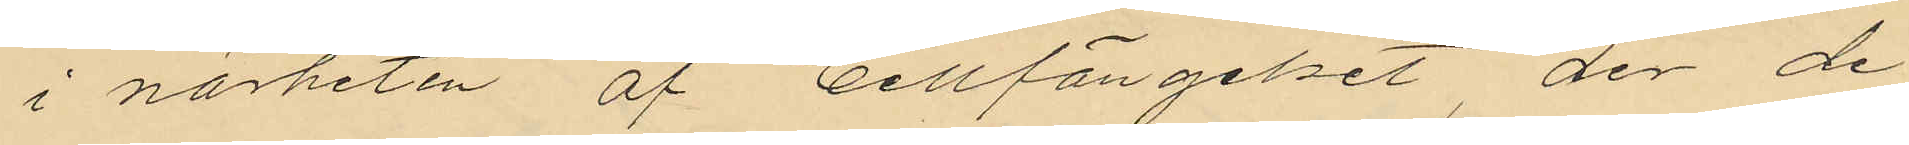i närheten af Cellfängelset der de
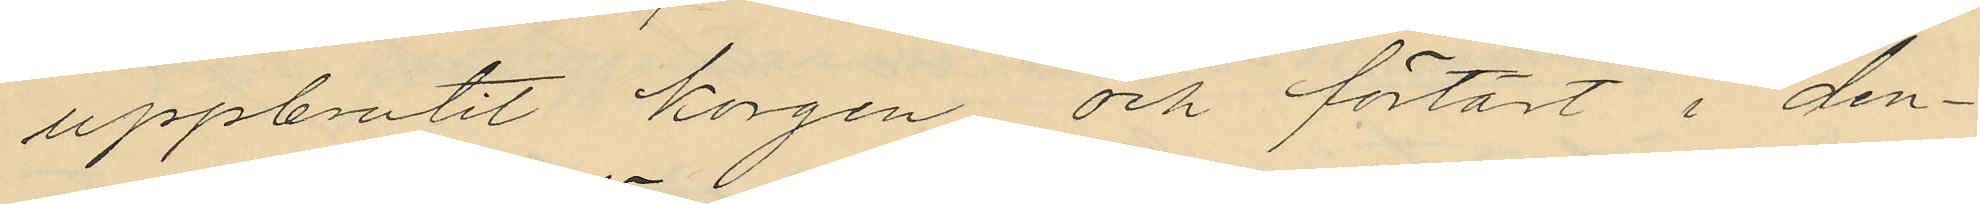uppbrutit korgen och förtärt i den¬
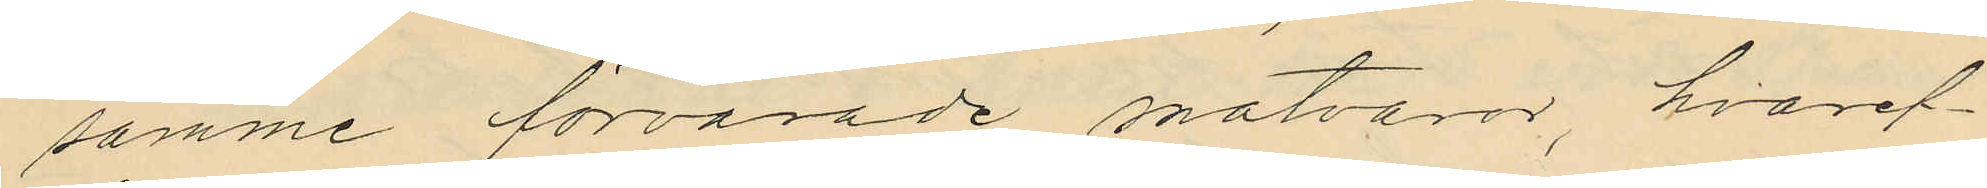samme förvarade matvaror, hvaref¬
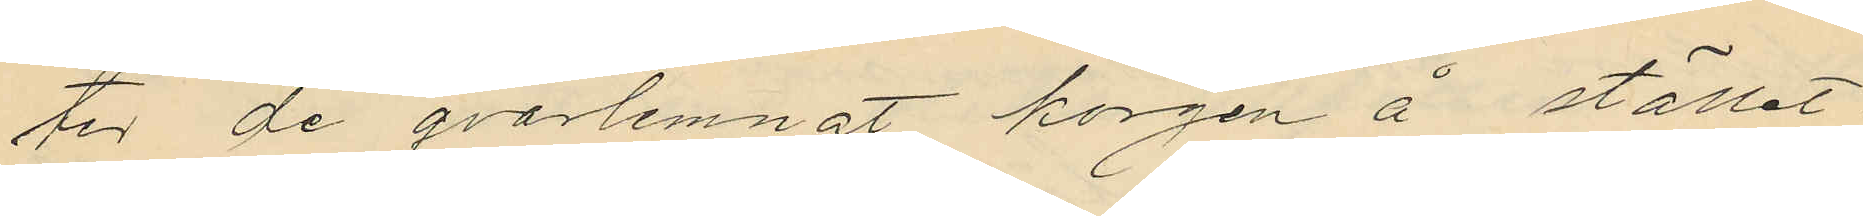ter de qvarlemnat korgen å stället
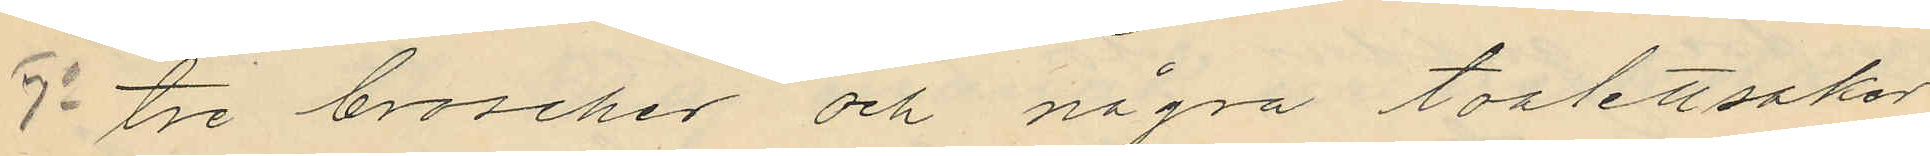7o tre broscher och några toalettsaker
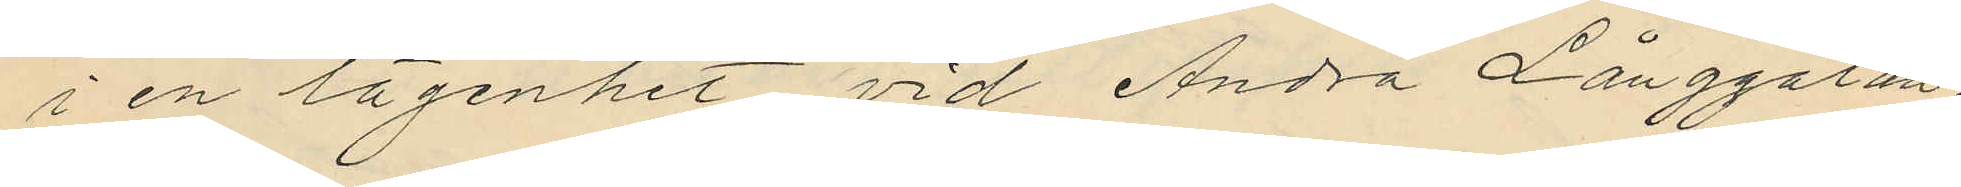i en lägenhet vid Andra Långgatan.
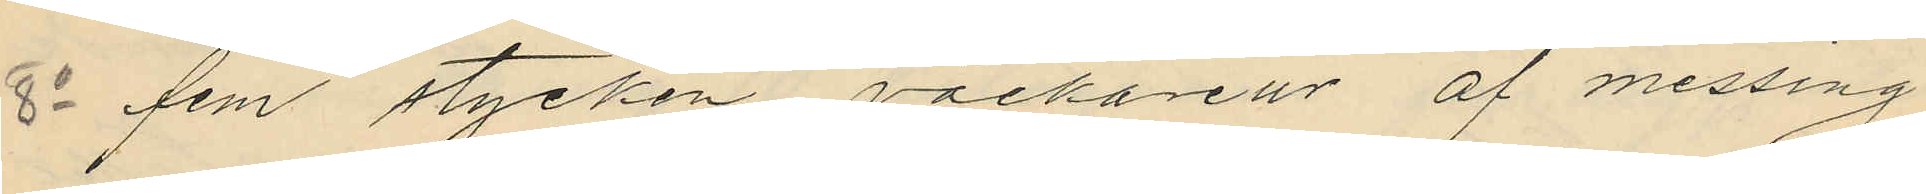8o fem stycken väckareur af messing
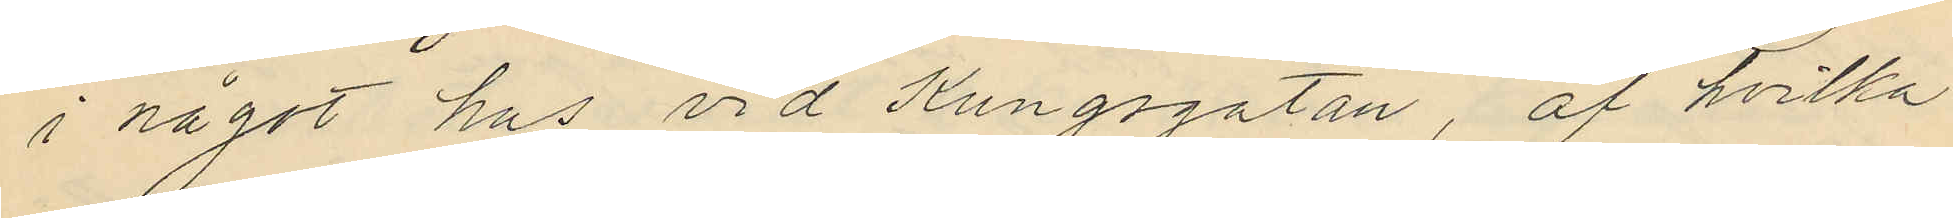i något hos vid Kungsgatan, af hvilka
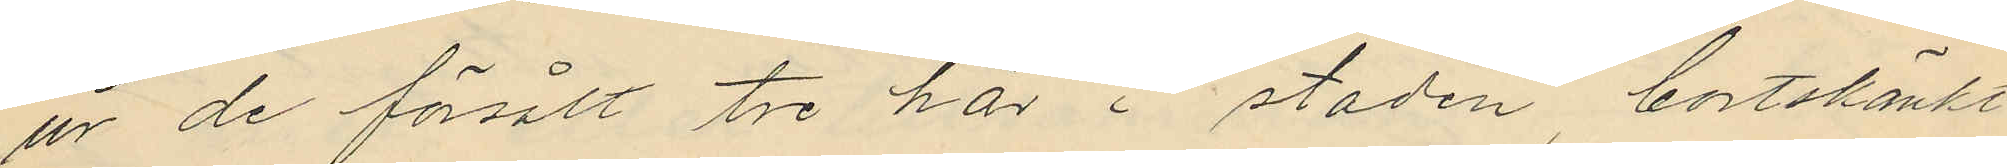ur de försålt tre här i staden bortskänkt
